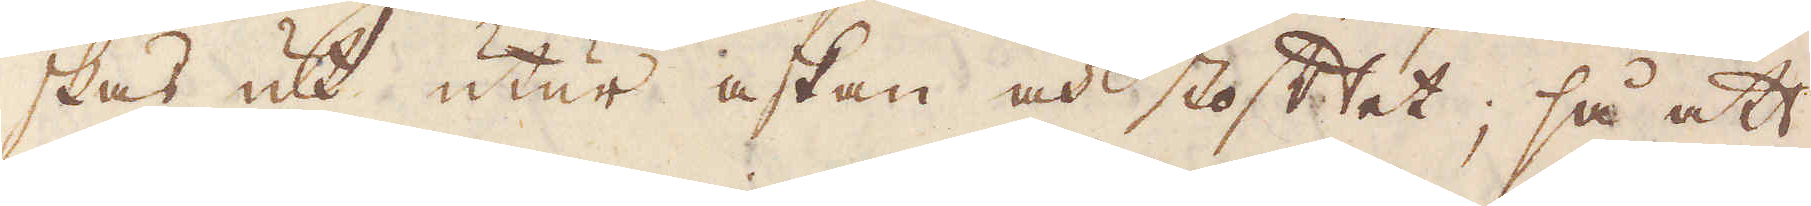skas ut utur askan och stoftet; så att
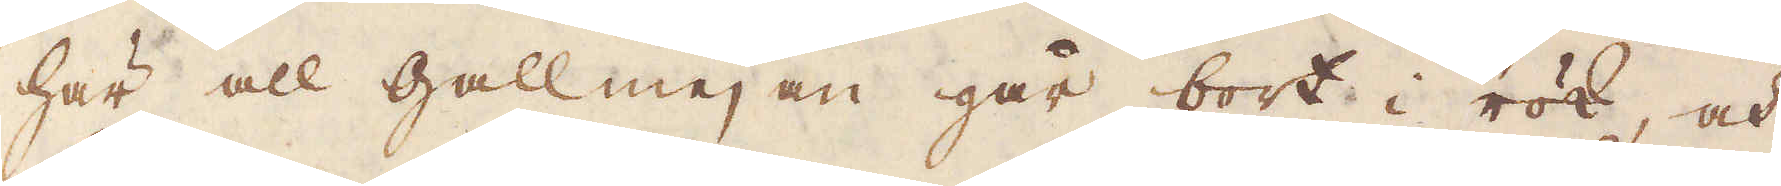här all gallmejan går bort i rök, och
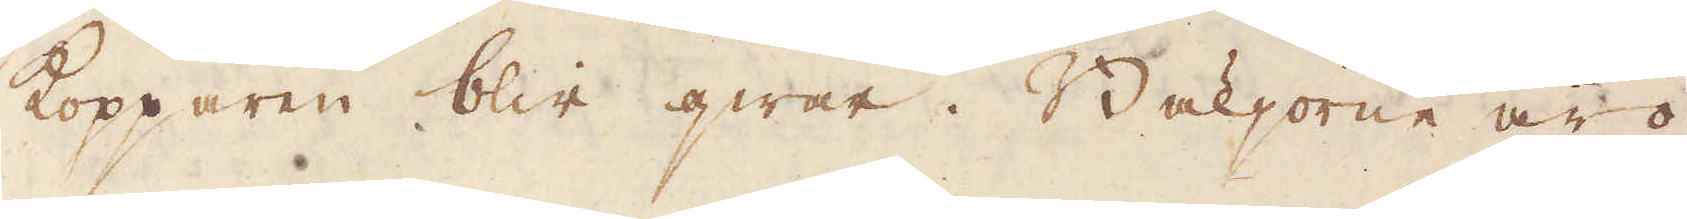Kopparen blir qwar. Bäljorne äro
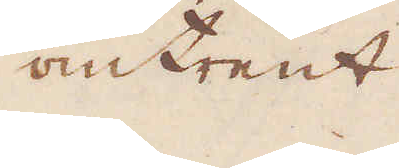omtrent
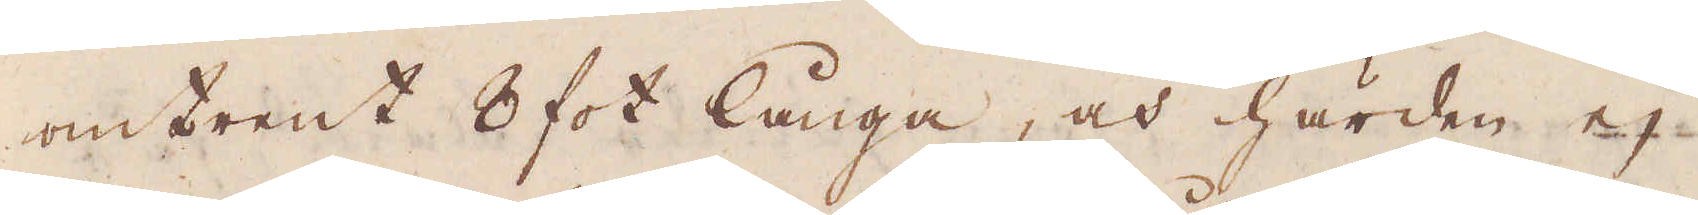omtrent 8 fot långa, och härden ej
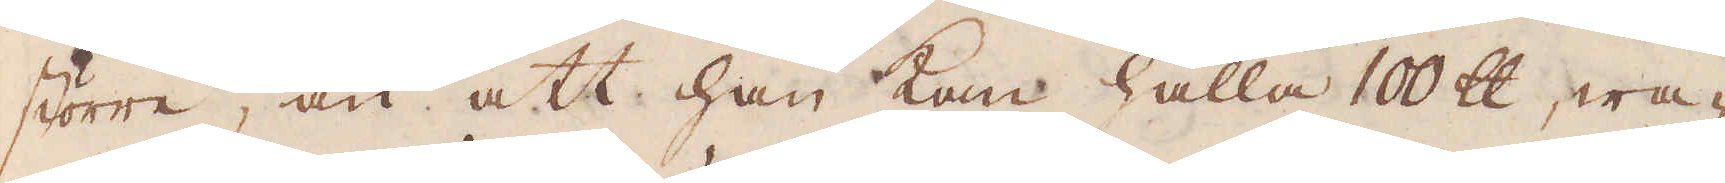större, än att han kan hålla 100 skålpund, wa-
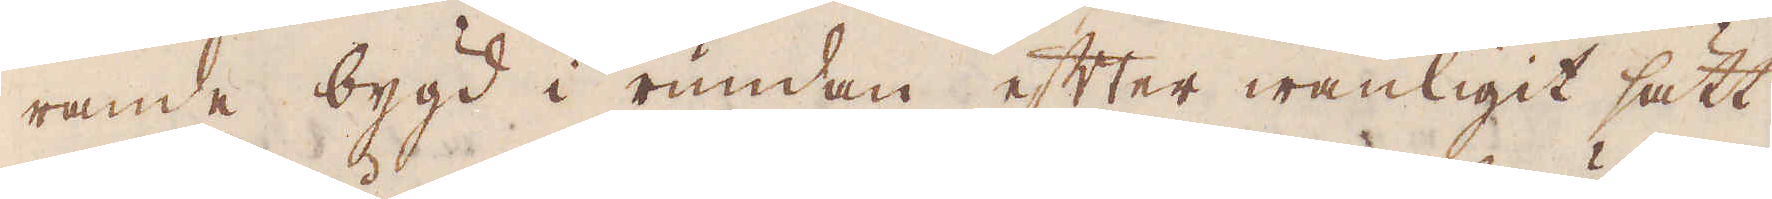rande bygd i rundan efter wanligit sätt
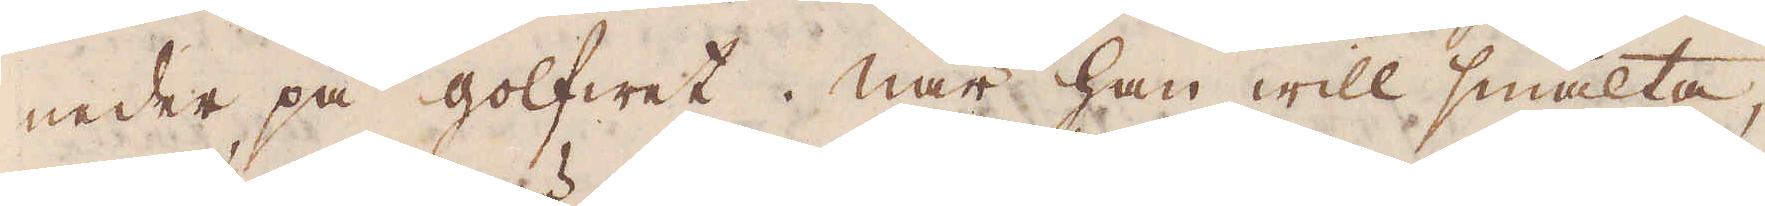neder på golfwet. När han will smälta,
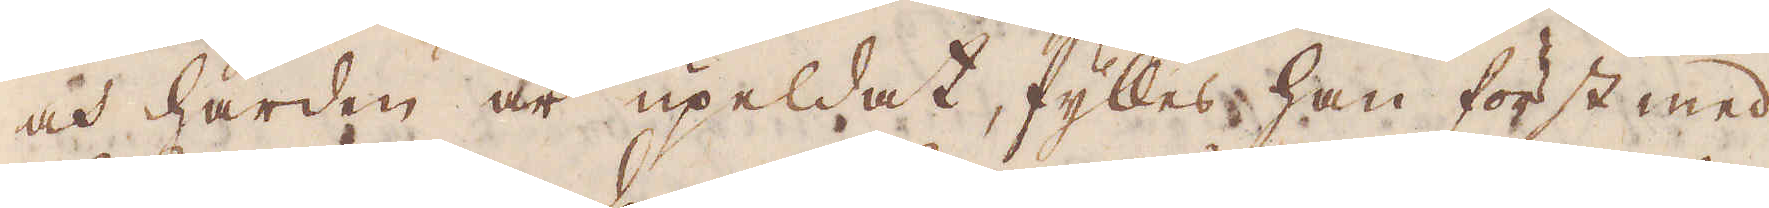och härden är upeldat, fylles han först med
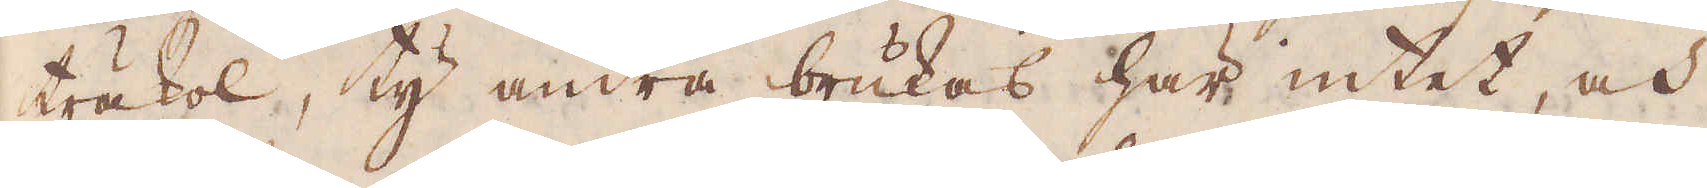träkol, ty andra brukas här intet, och
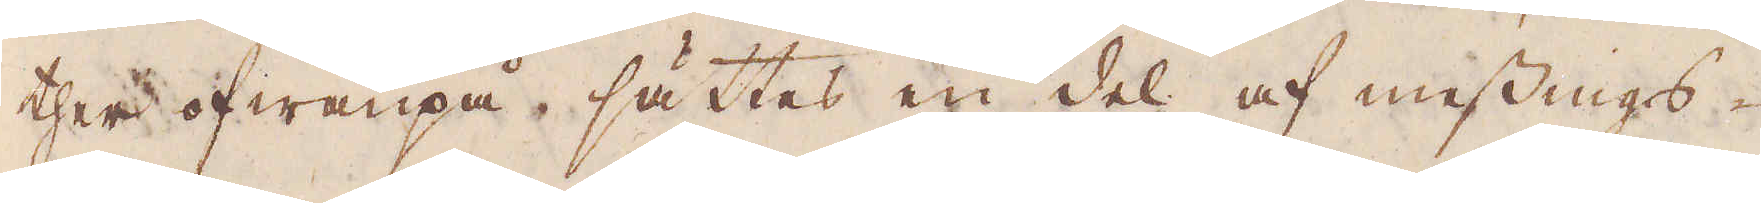ther ofwanpå sättes en del af messings-
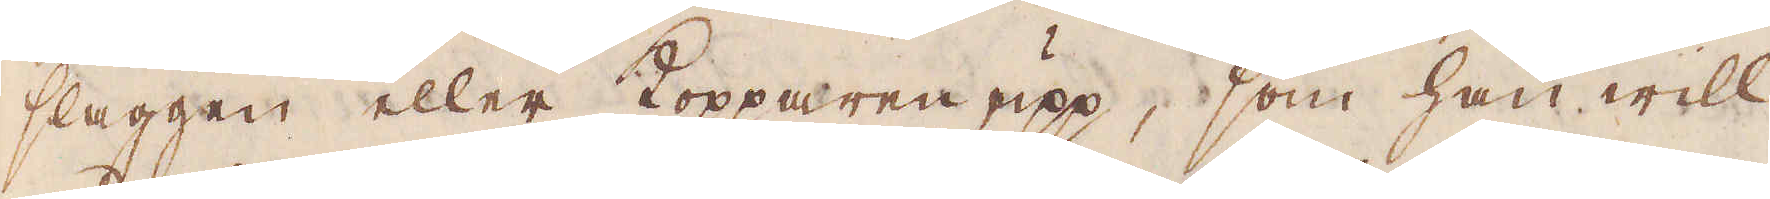slaggen eller Kopparen upp, som han will
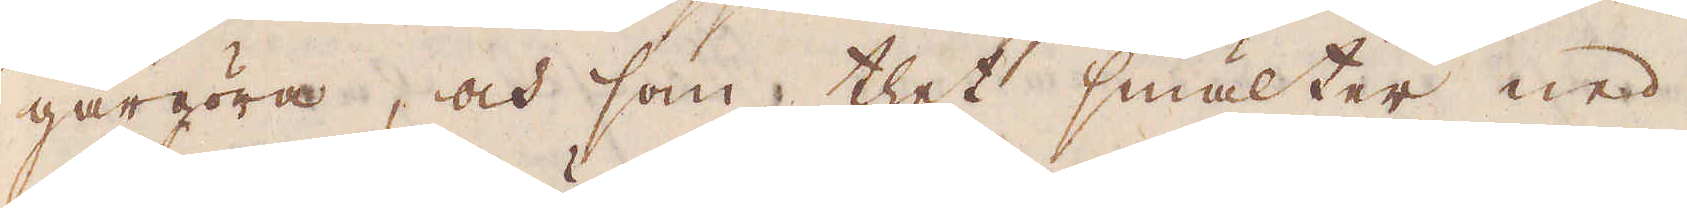gårgöra, och som thet smälter ned,
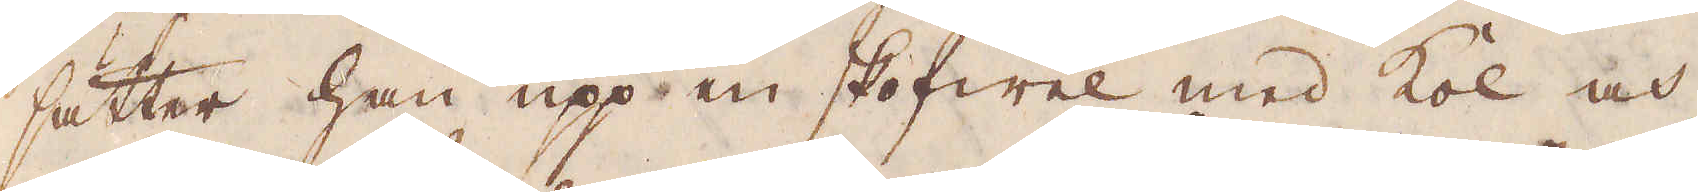sätter han upp en skofwel med kol och
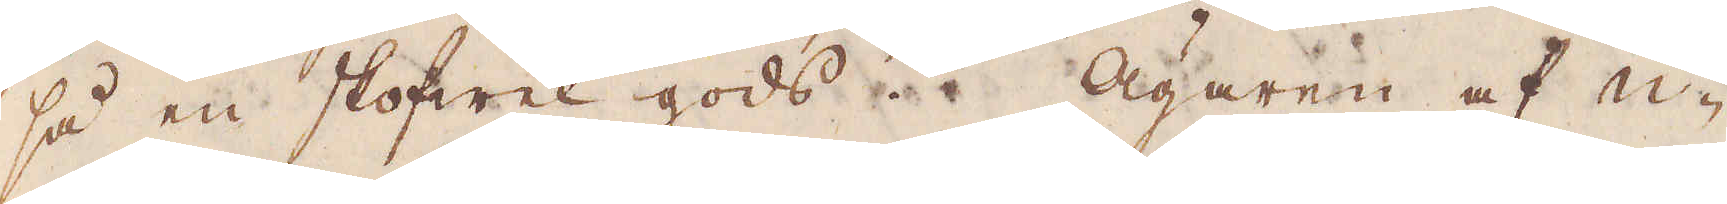så en skofwel gods. Ägaren af u-
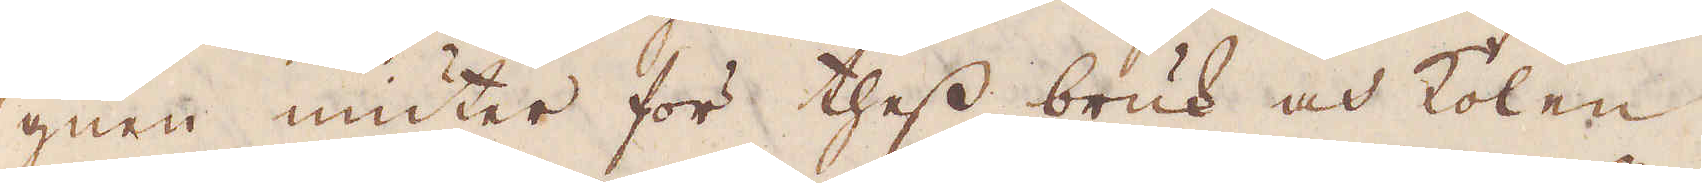gnen niuter för thess bruk och kolen
